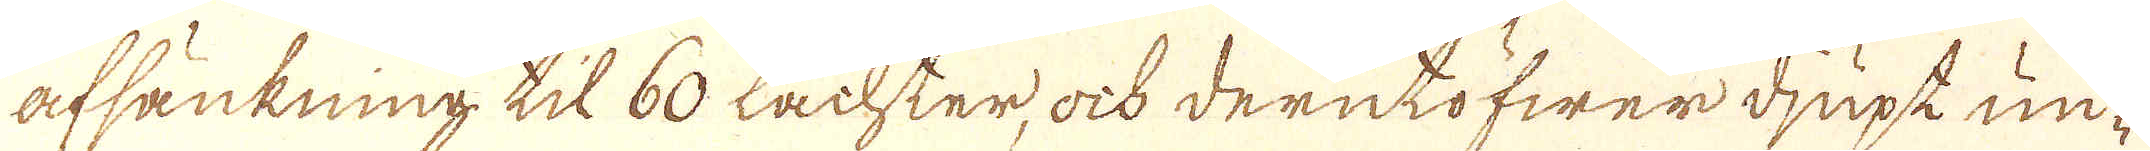afsänkning til 60 Lachter, ock derutöfwer djupt un-
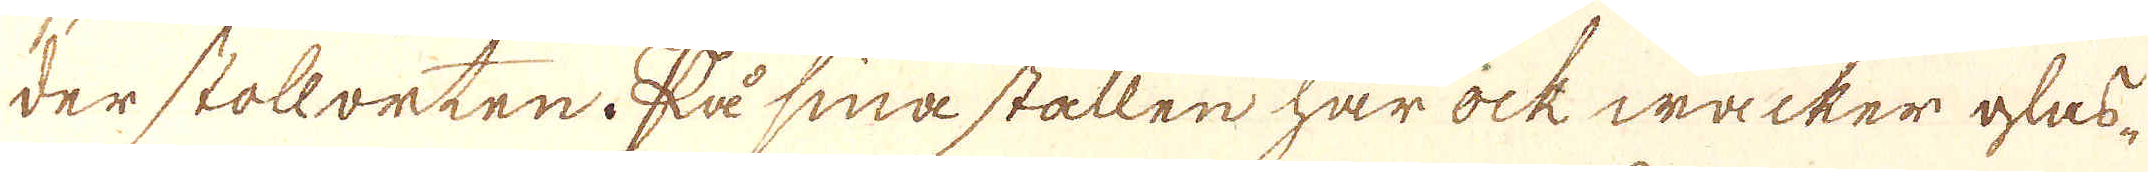der stollorten. På sina ställen har ock wäcker glas-
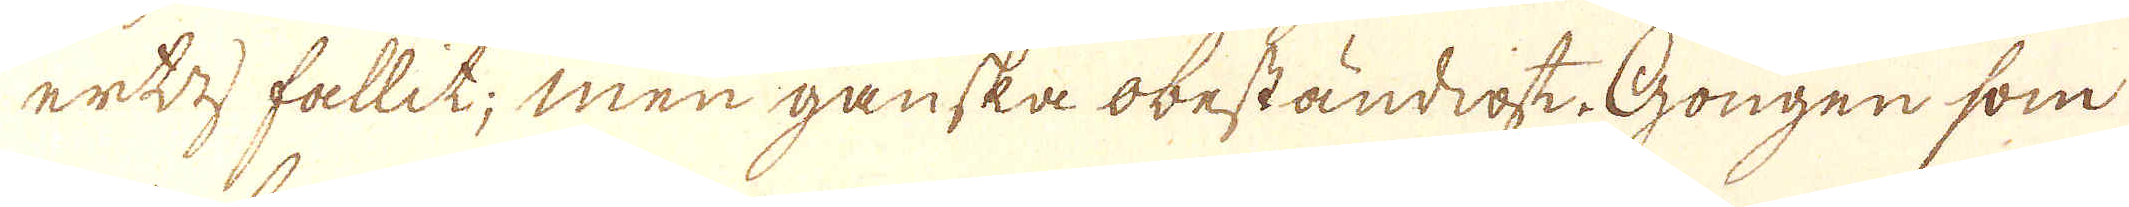ert fallit; men ganska obeständigt Gongen som
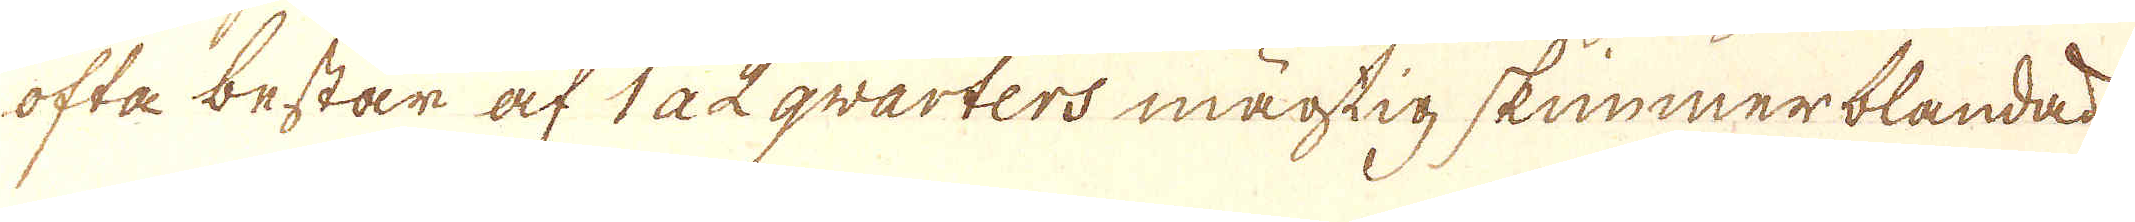ofta består af 122 qvarters mägtig skummerblandad.
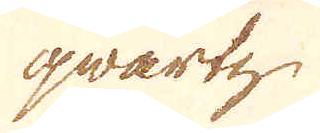qwartz
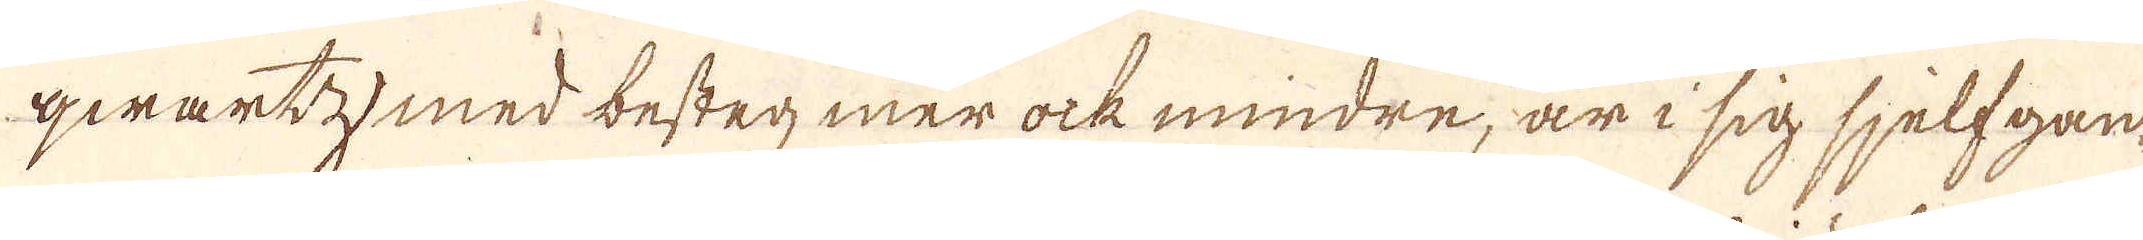qwartz med bestag mer ock mindre, är i sig sjelfgan-
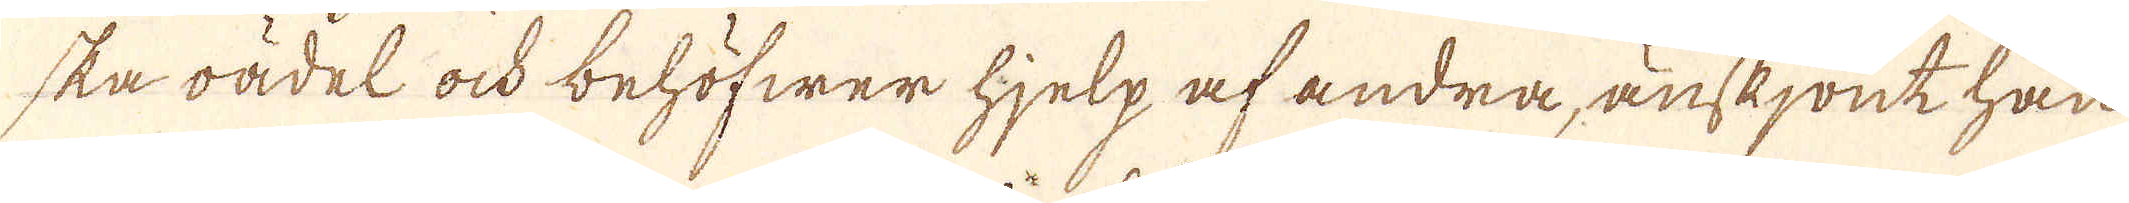ska oädel ock behöfwer hjelp af andra, änskjönt han
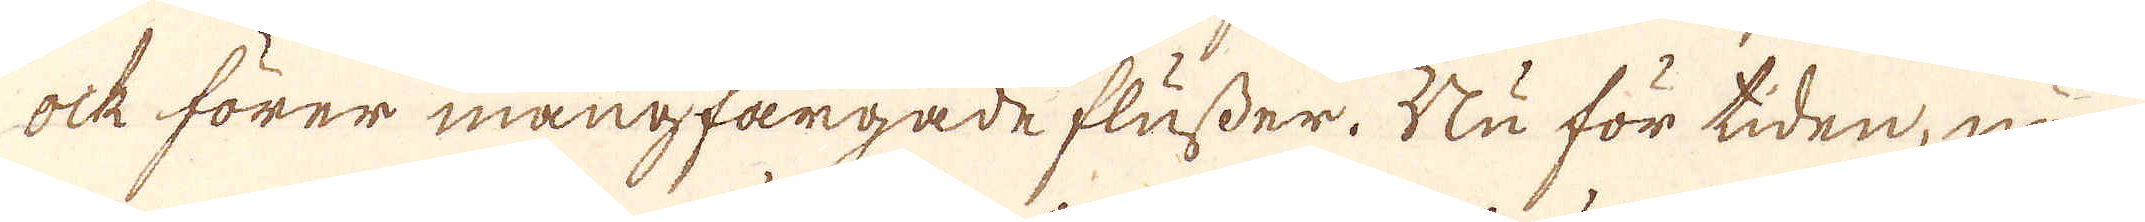ock förer mångfargade flusser. Nu för tiden, när
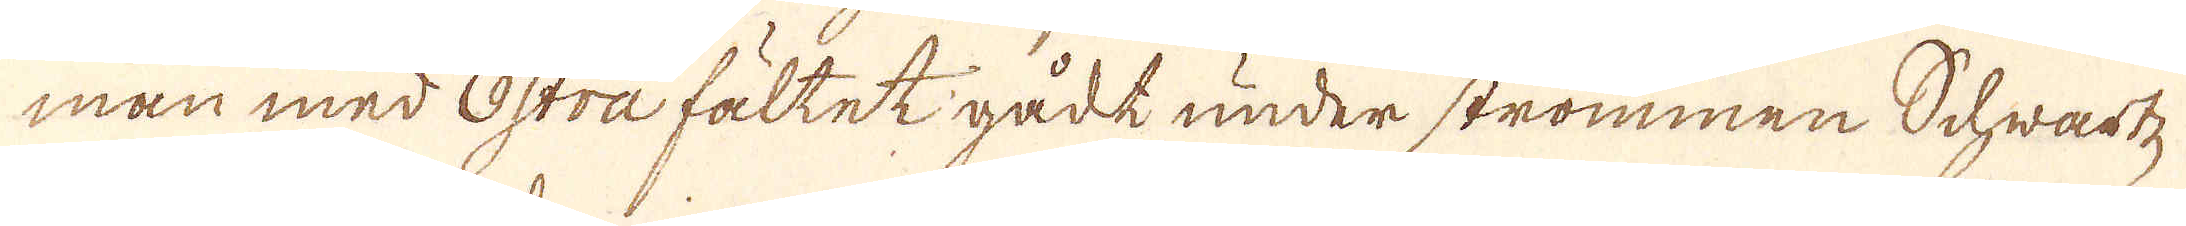man med östra fältet gådt under strömmen Schwartz-
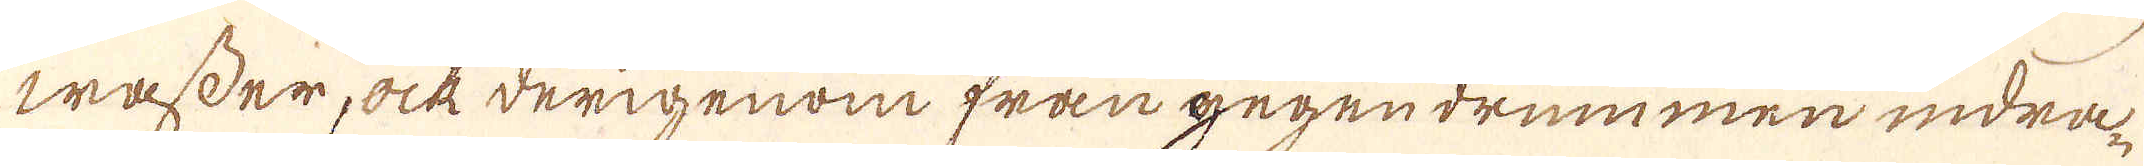wasser, ock derigenom från gegendrummen indra-
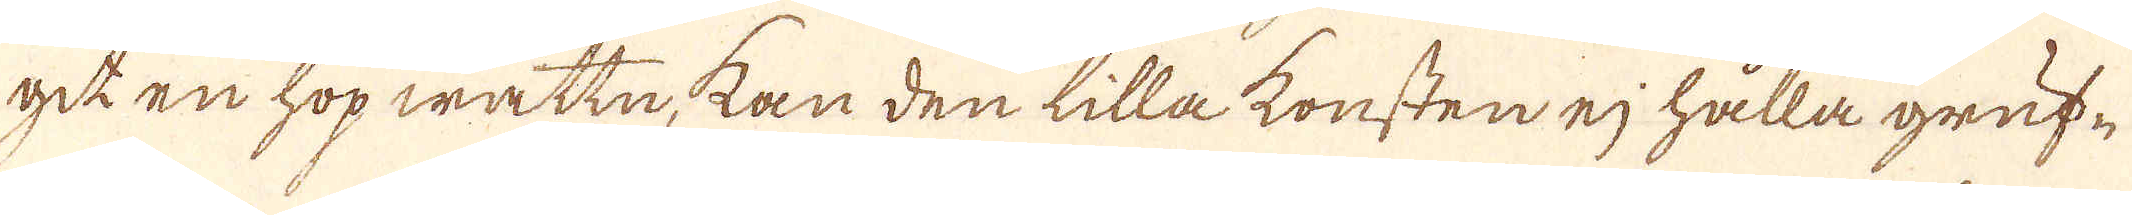git en hop wattn, kan den lilla konsten ej hålla gruf-
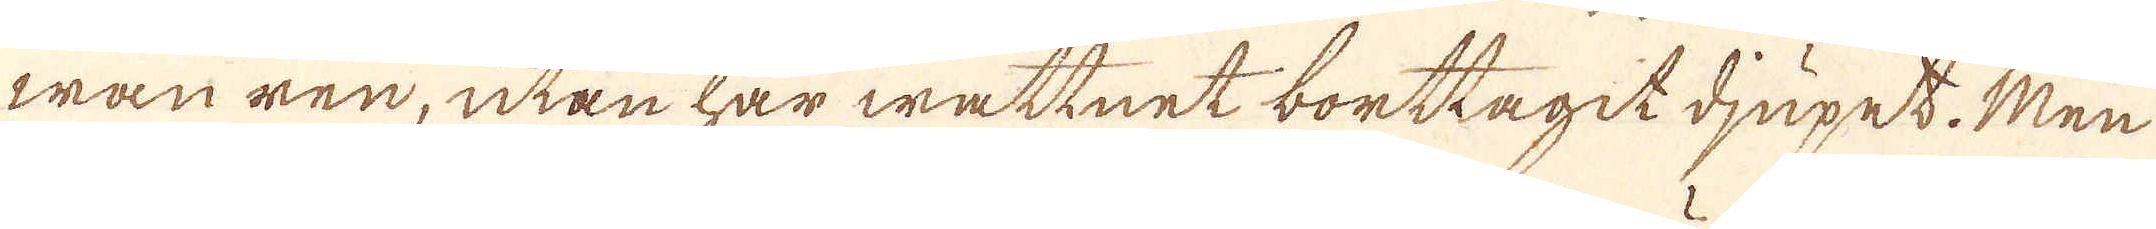wan ren, utan har wattnet borttagit djupet. Men
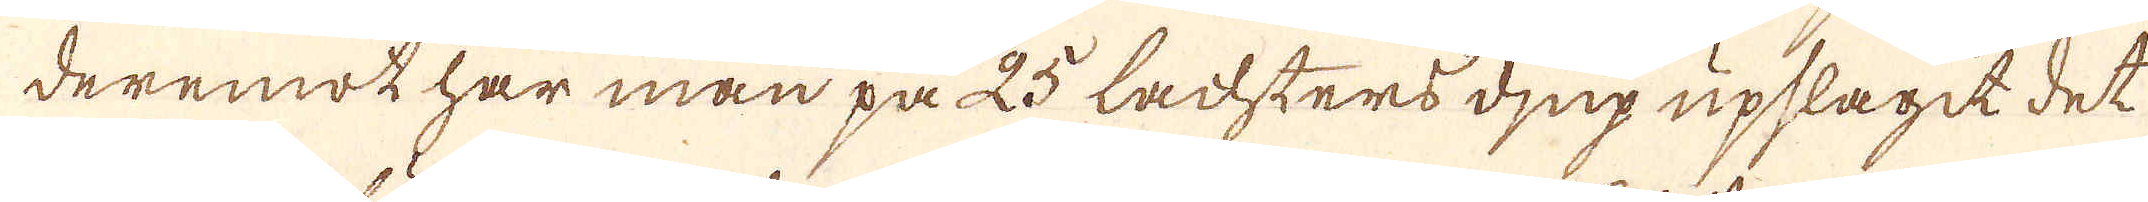deremot har man på 25 Lachters djup upslagit det
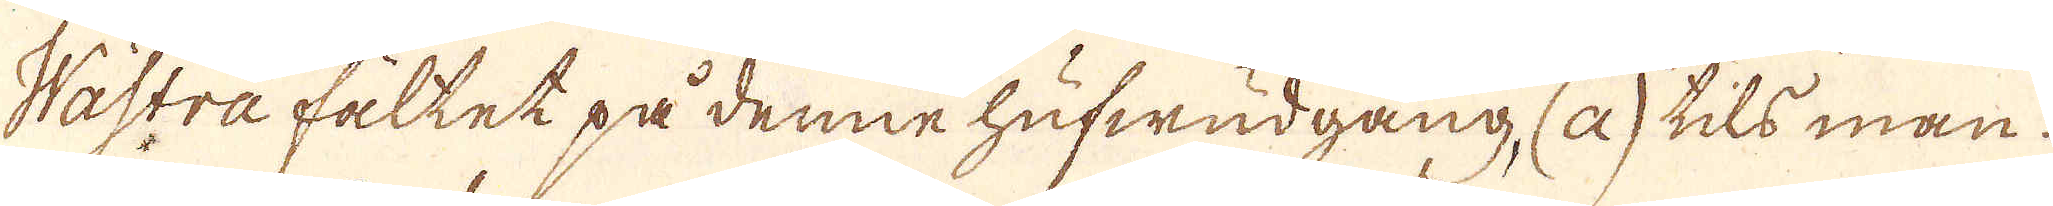Wästra fältet på denne hufwudgång, (a) tils man.
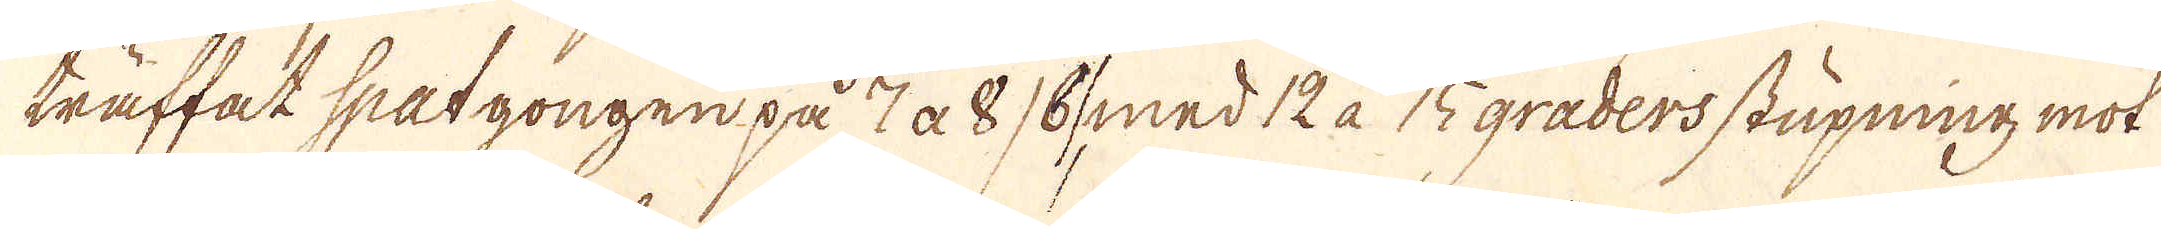träffat spatgången på 7 a 8 /b/ med 12 à 15 graders stupning mot
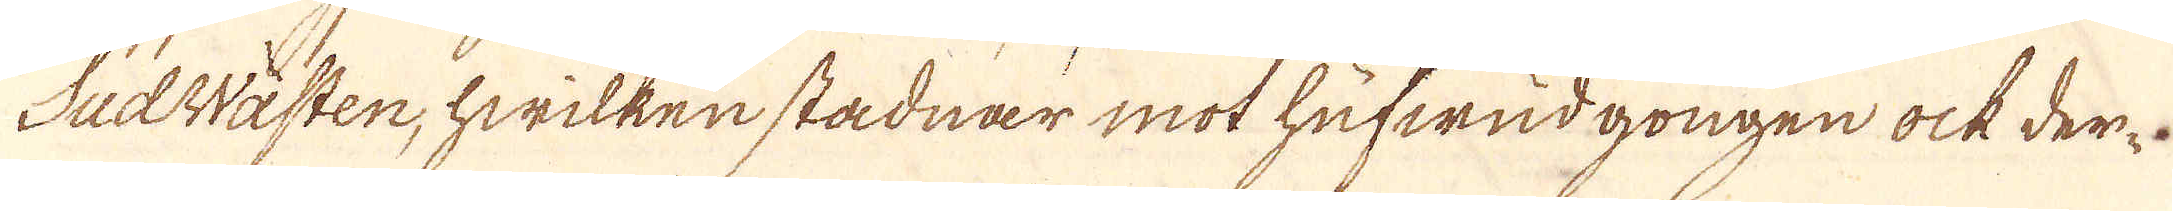SudWästen, hwilken stadnar mot hufwudgongen ock der-
